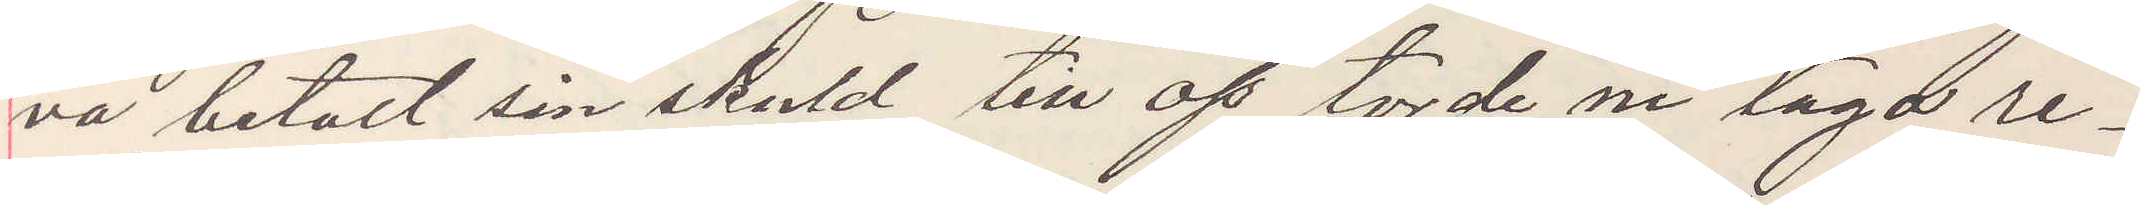va betalt sin skuld till oss torde ni taga re¬
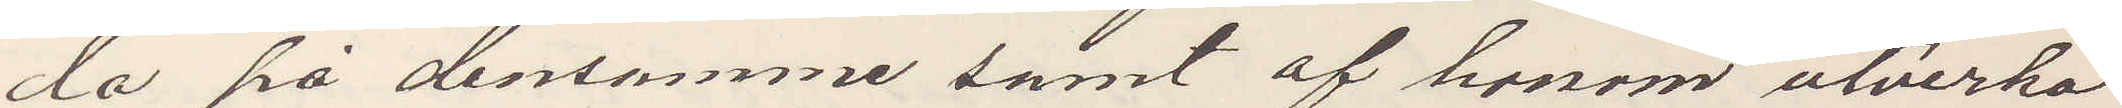da på densamme samt af honom utverka
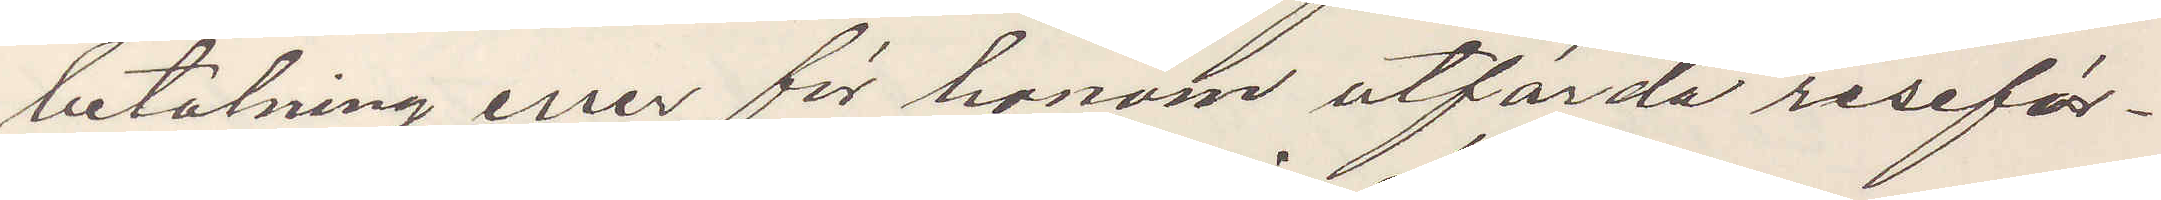betalning eller för honom utförda reseför¬
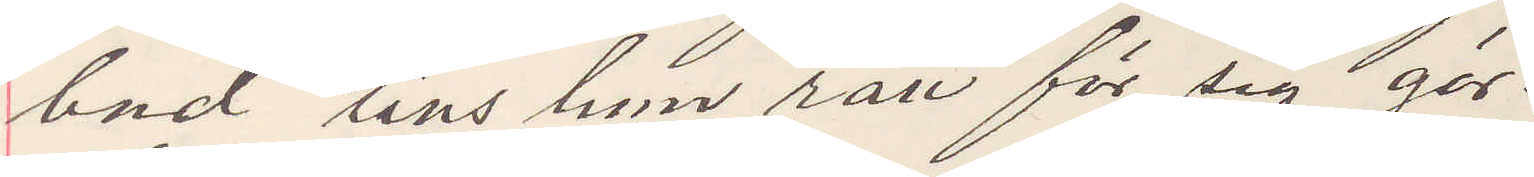bud stills han rätt för sig gör.
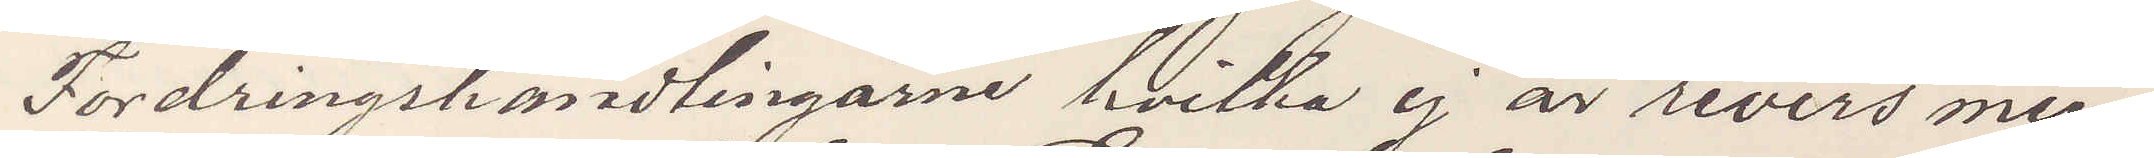Fordringshandlingarne hvilka ej är revers men
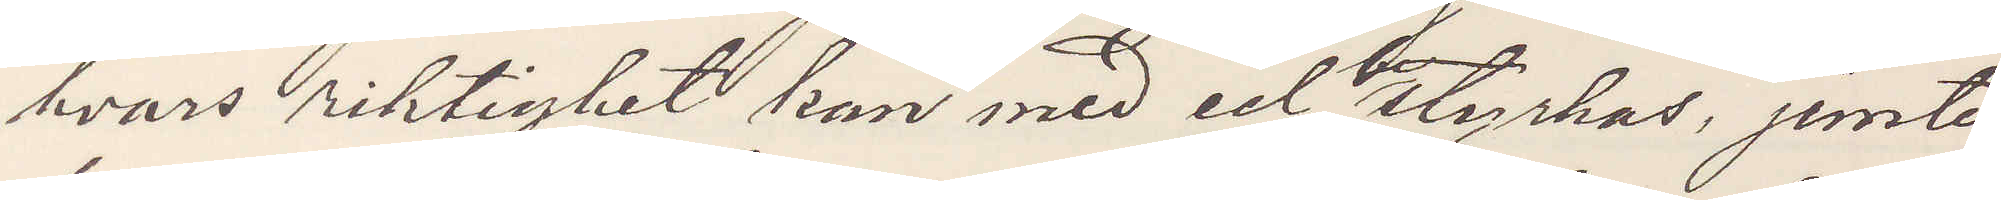hvars riktighet kan med ed styrkas, jemte
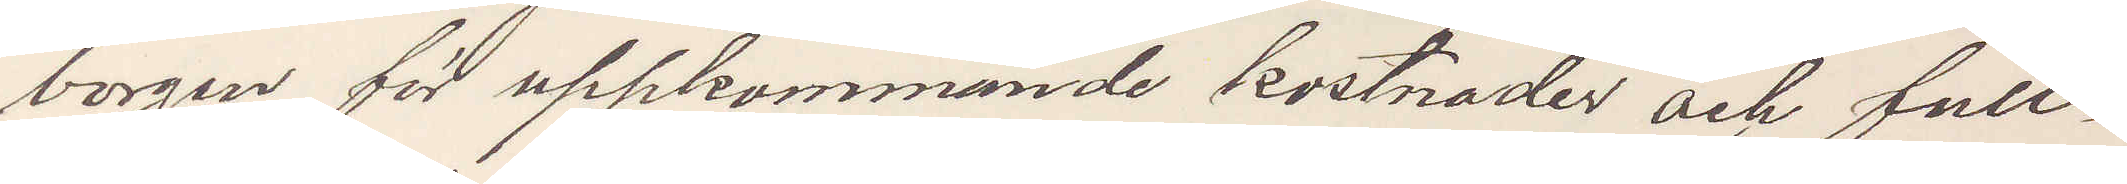borgen för uppkommande kostnader och full¬
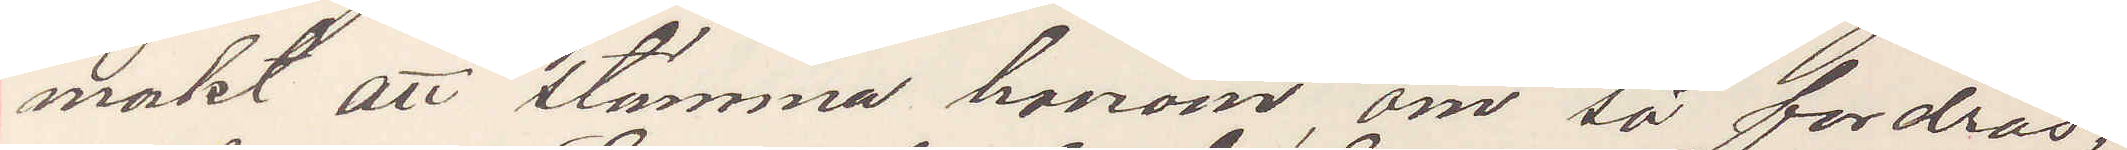makt att stämma honom om så fordras,
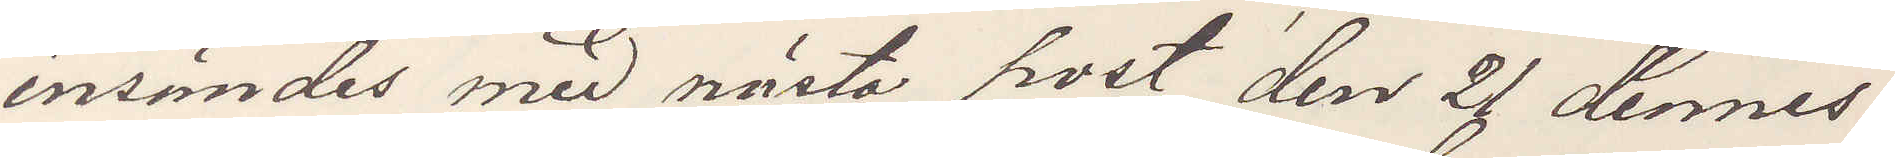insändes med nästa post den 2 dennes.
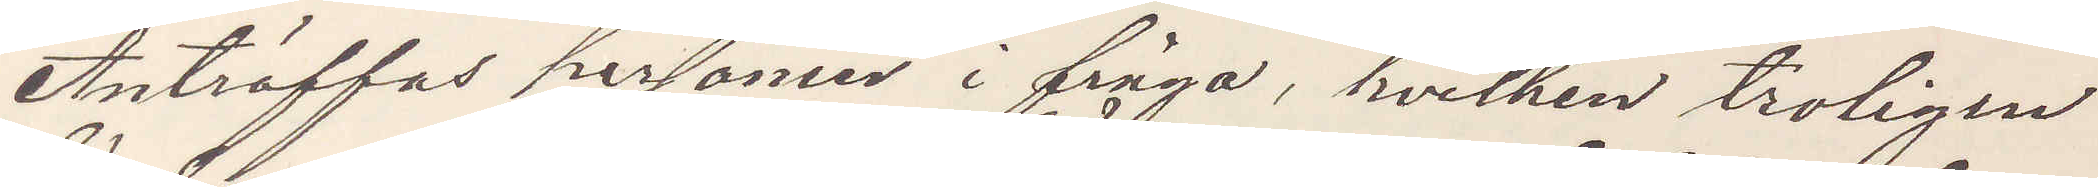Anträffas personer i fråga, hvilken troligen
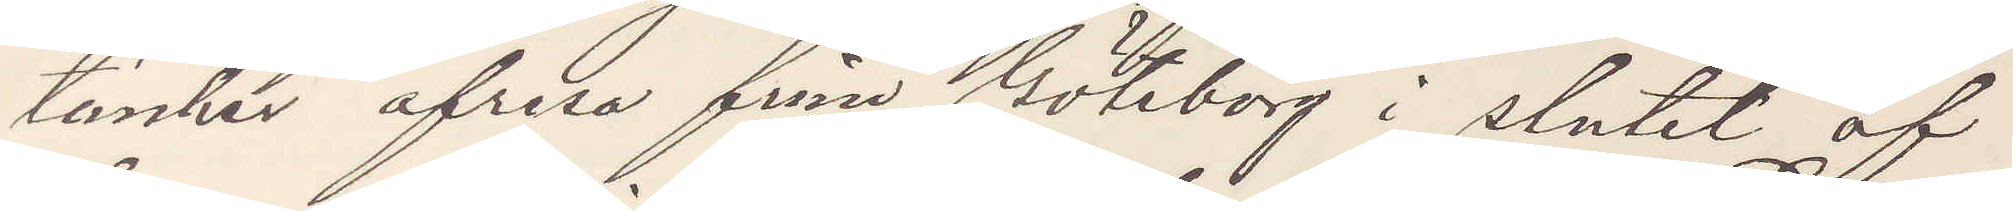tänker afresa fråm Göteborg i slutet af
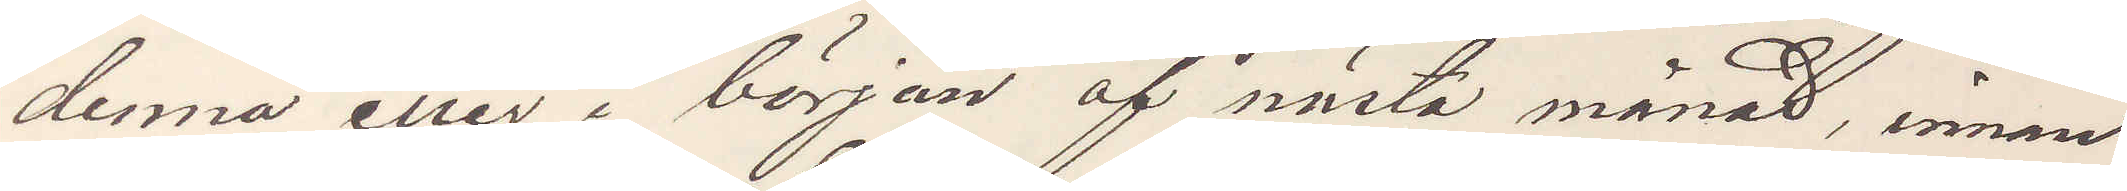denna eller i början af nästa månad, innan
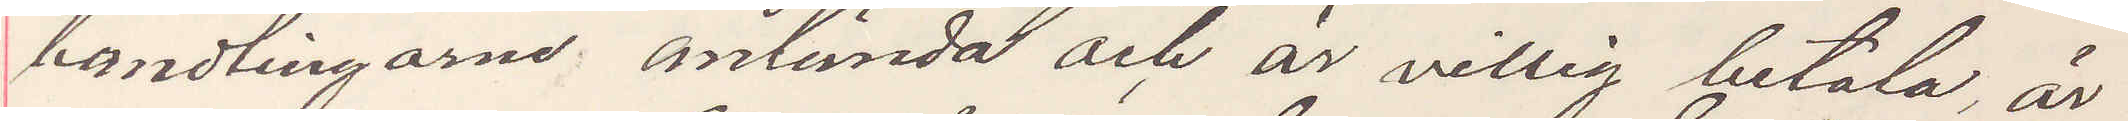handlingarne anlända och är villig betala, är
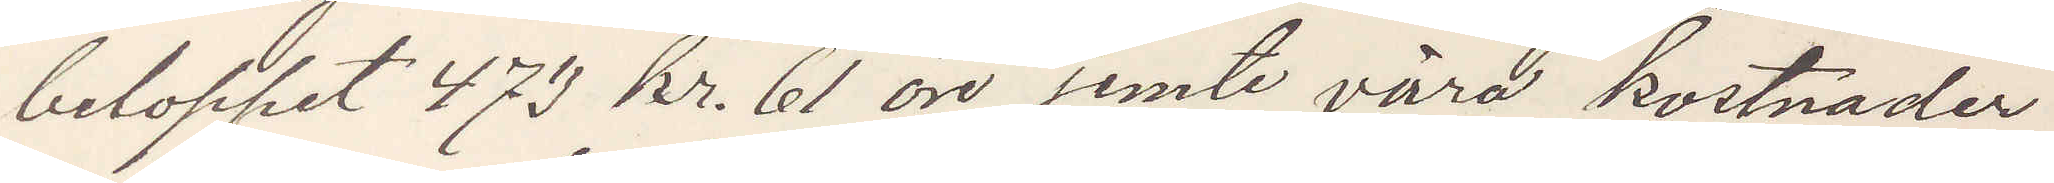beloppet 473 kr. 61 öre jemte vara kostnader
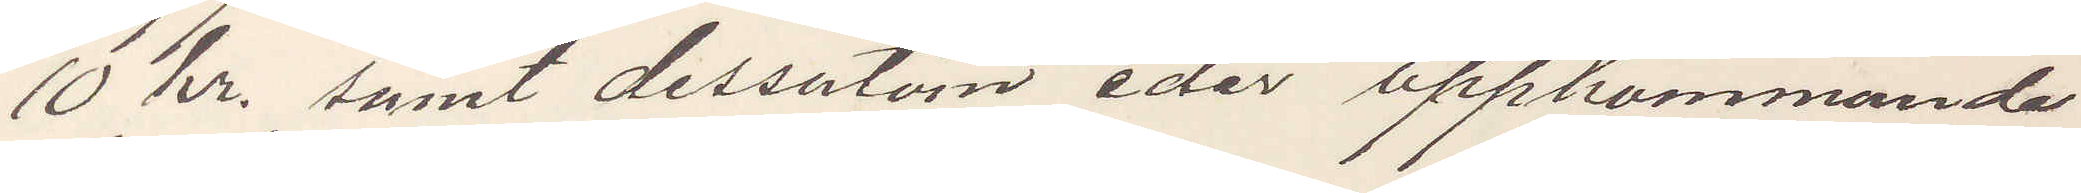10 Kr. samt dessutom eder uppkommande
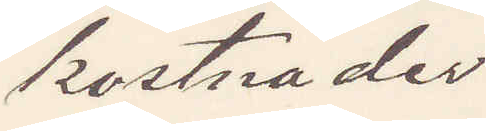kostnader.
